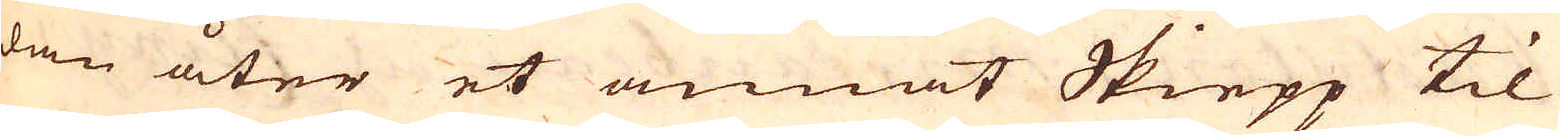dan åter et annat Skiepp til
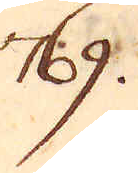769.
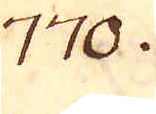770.
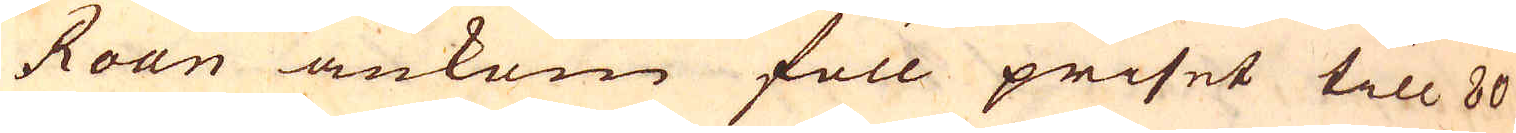Roan ankom föll priset till 80
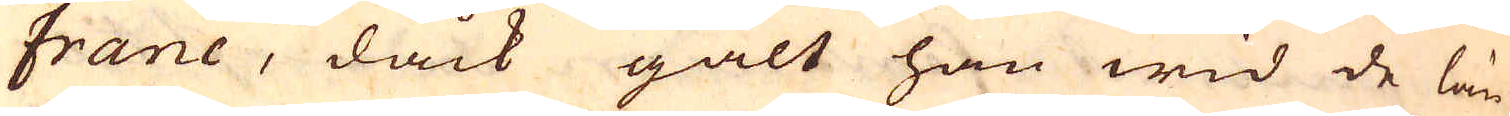franc, dåck galt han wid de län-
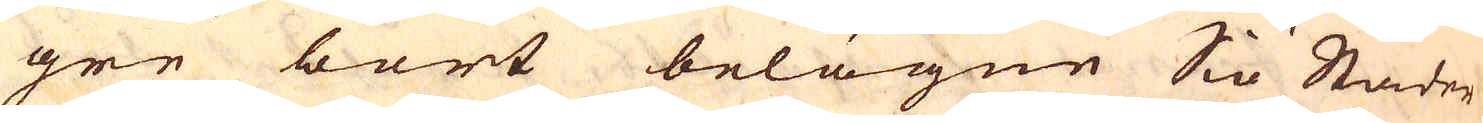gre bort belägne Siö Städer
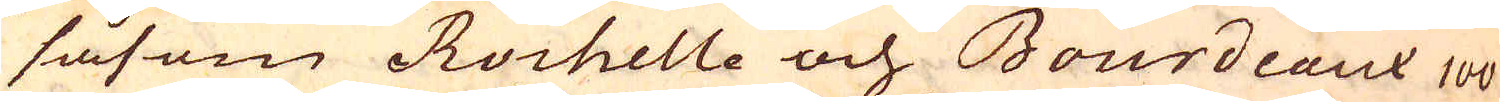såsom Rochelle och Bourdeaux 100
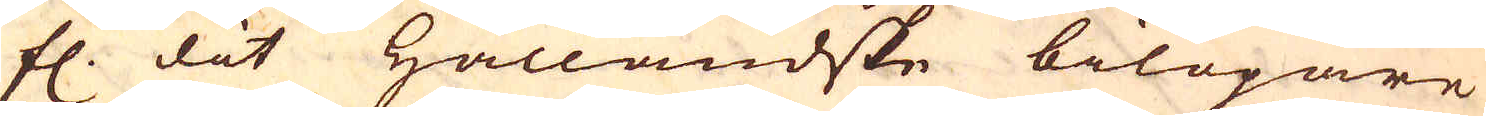fl. dit Hålländske bilöpare
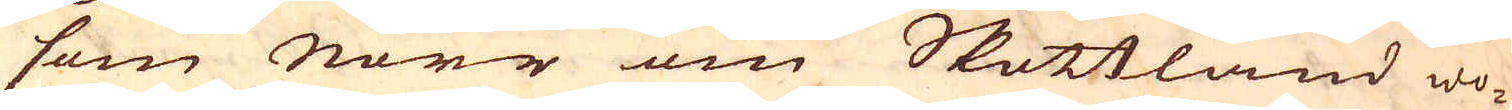som Norr om Skottland wo-
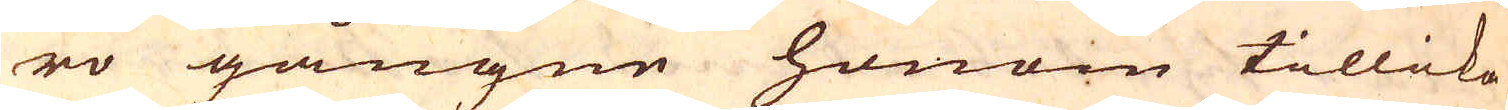ro gångne honom tillika
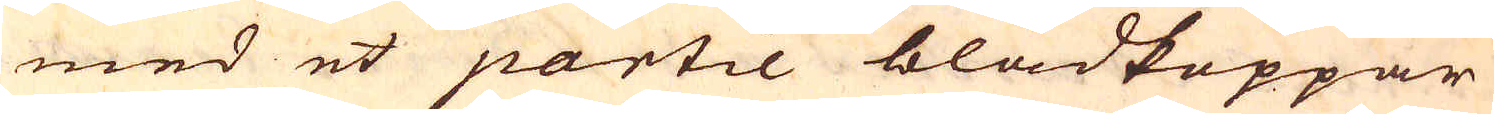med et partie bladkoppar
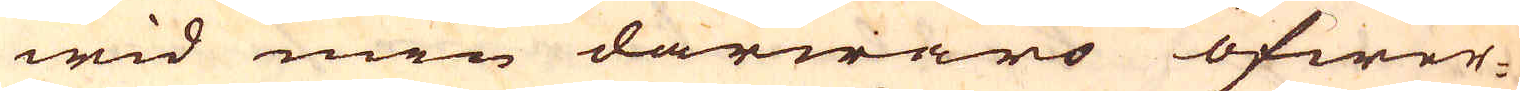wid min därwaro öfwer-
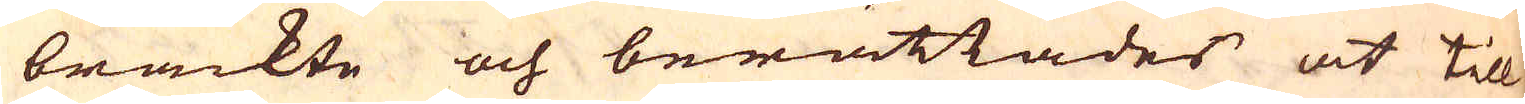brackte och berättades at till
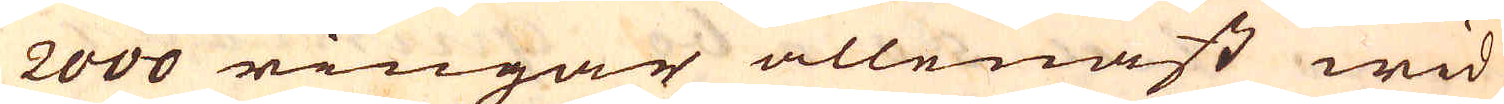2000 ringar allenast wid
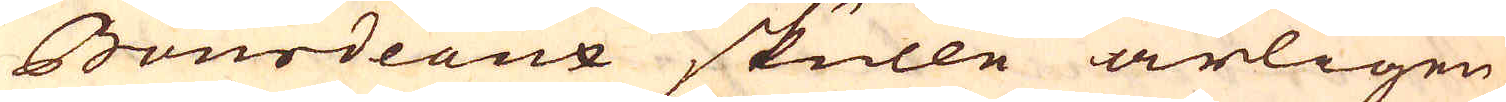Bourdeaux skulle årligen
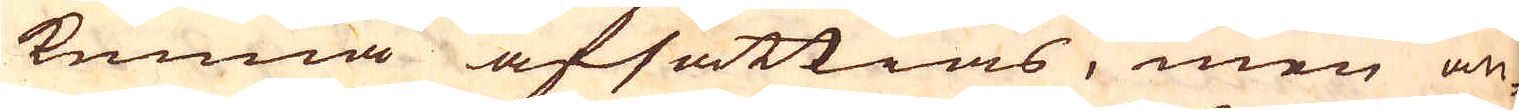kunna afsättias, men an-
